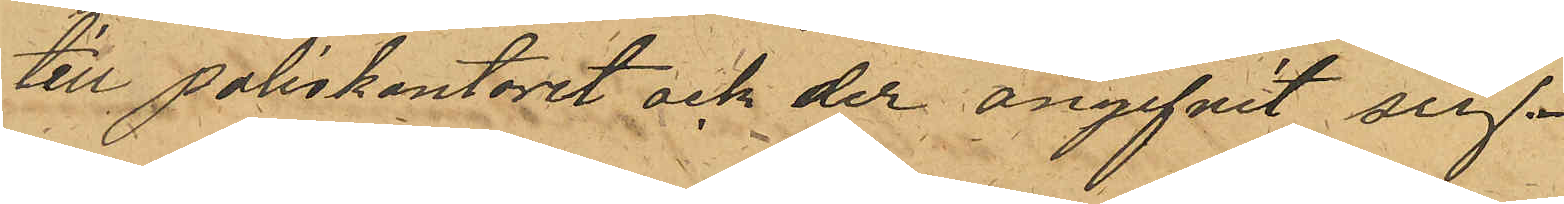till Poliskontoret och der angifvit sig.
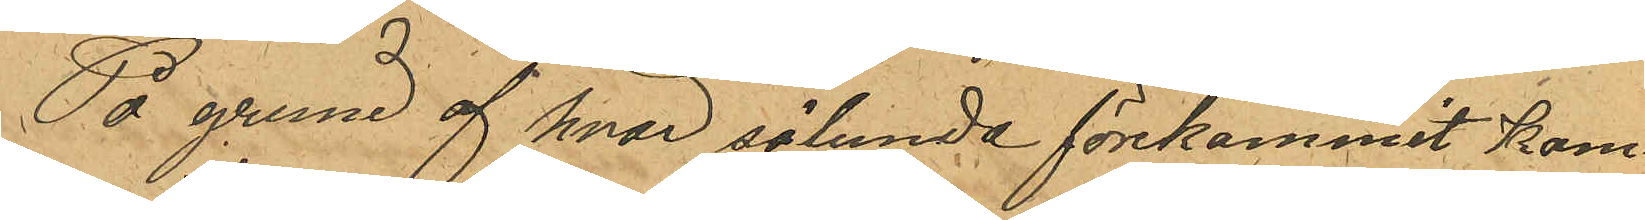På grund af hvad sålunda förekommit kom¬
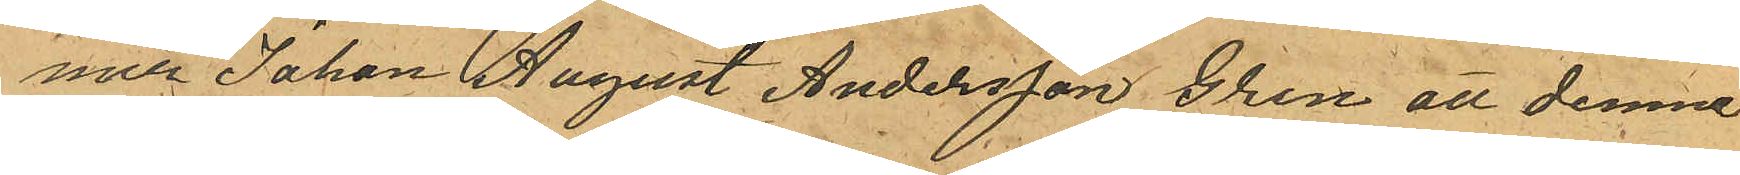mer Johan August Andersson Gren att denne
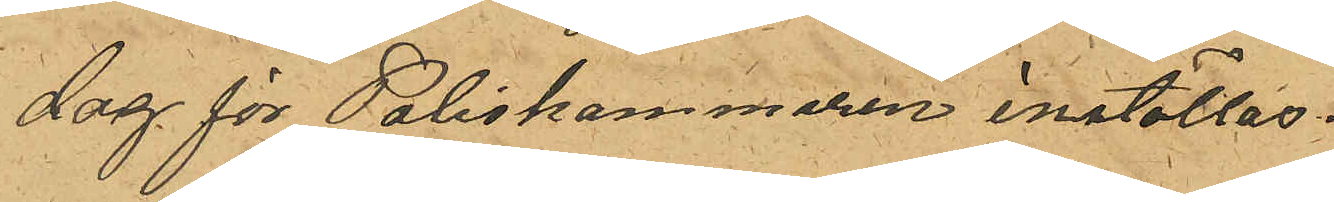dag för Poliskammaren inställas.
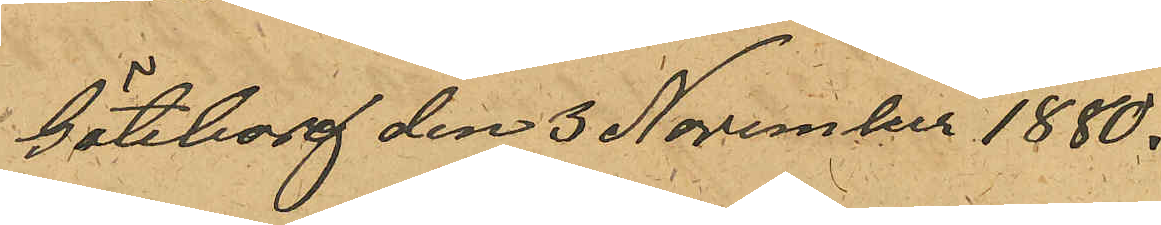Göteborg den 3 November 1880.
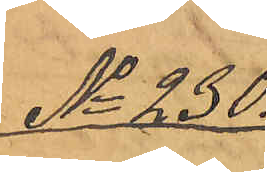No 230.
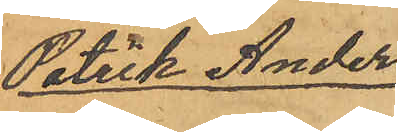Patrik Anders¬
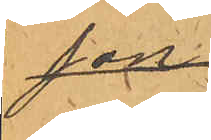son
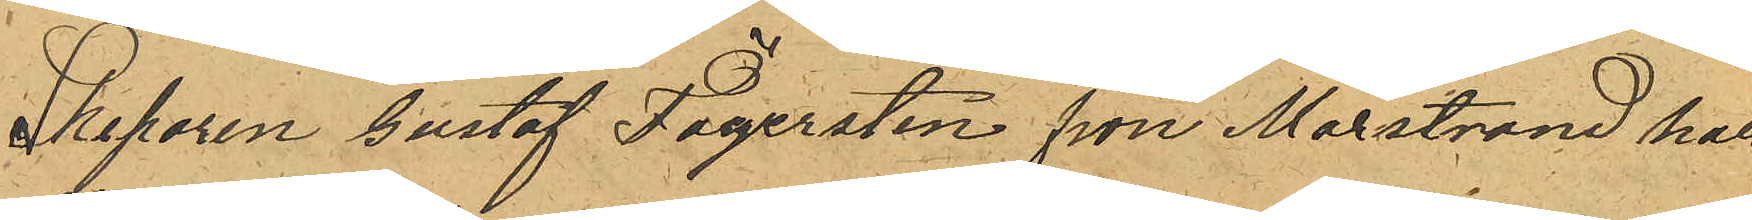Skeparen Gustaf Fägersten från Marstrand har
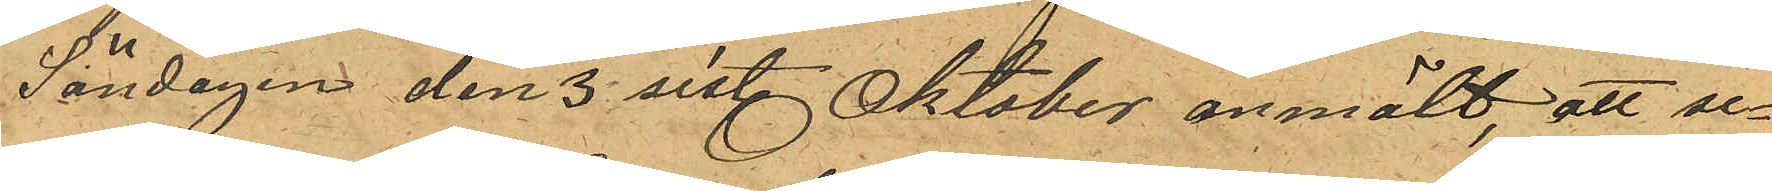Söndagen den 3 sist. Oktober anmält att se¬
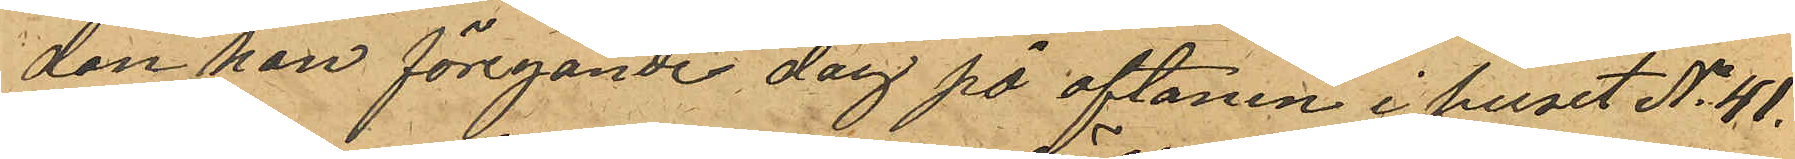dan han föregånde dag på aftonen i huset No 41.
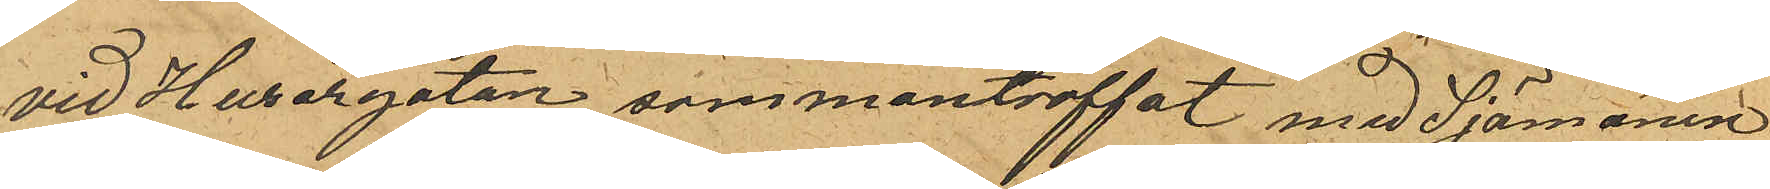vid Husargatan sammanträffat med Sjömanen
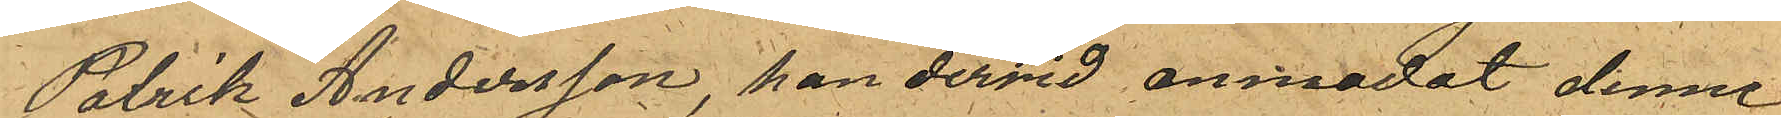Patrik Andersson, han dervid anmodat denne
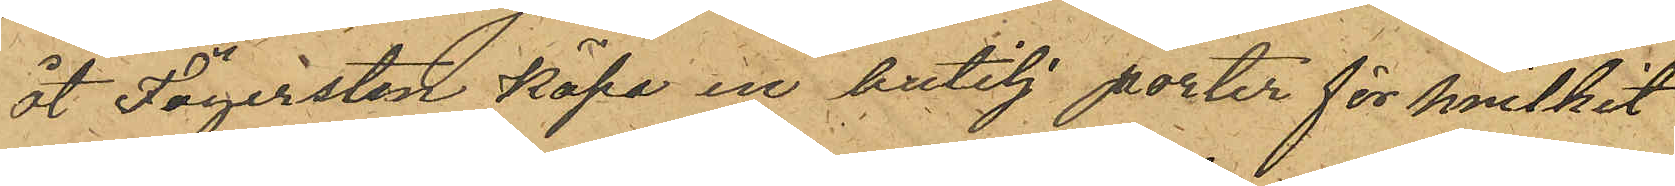åt Fägersten köpa en butelj porter för hvilket
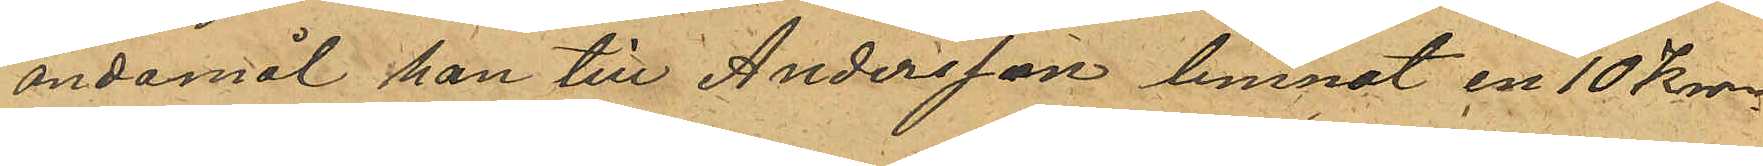ändamål han till Andersson lemnat en 10 Kron¬
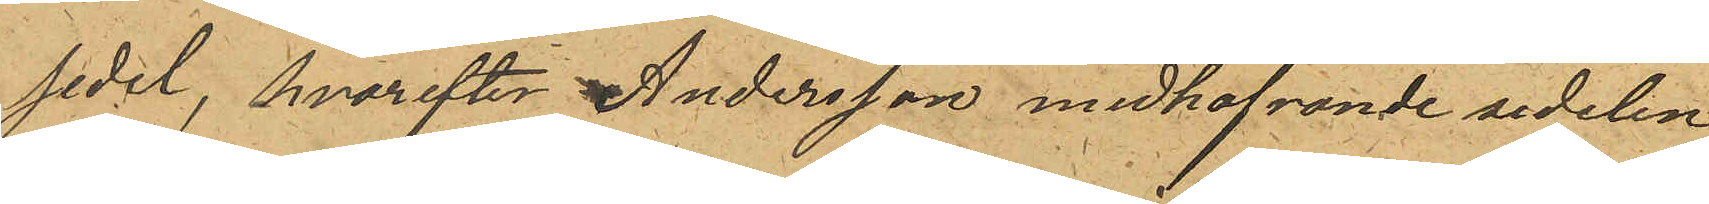sedel, hvarefter Andersson medhafvande sedelen
